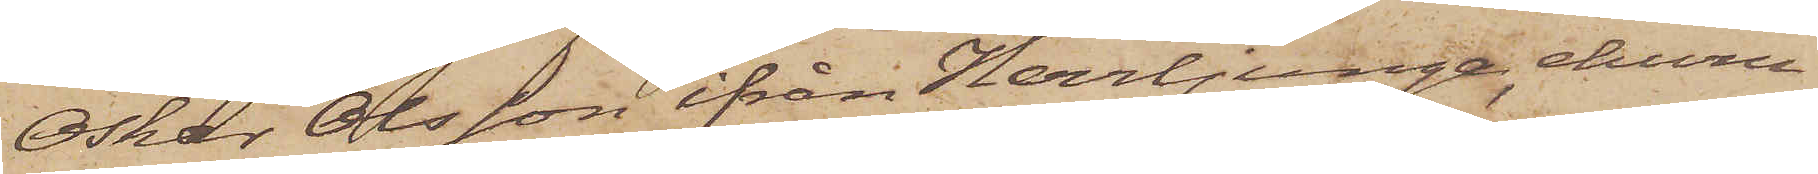Oskar Olsson ifrån Herrljunga, ehuru
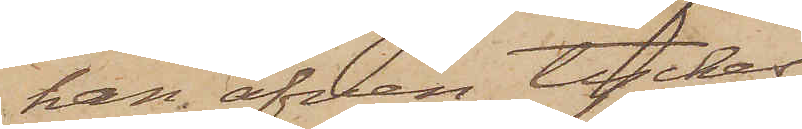han äfven tyckes
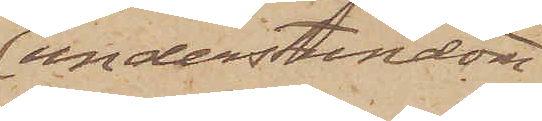understundom
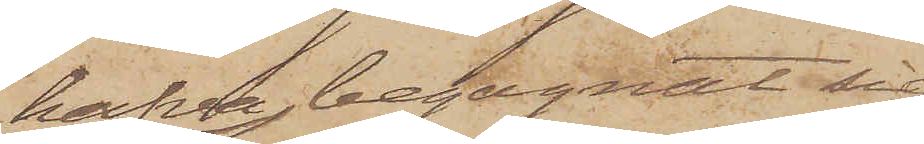hafva begagnat sig
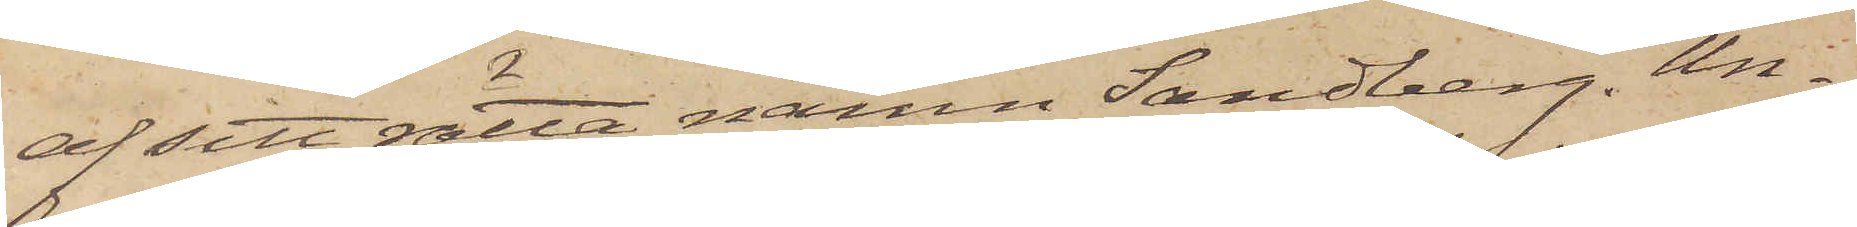af sitt rätta namn Sandberg. Un¬
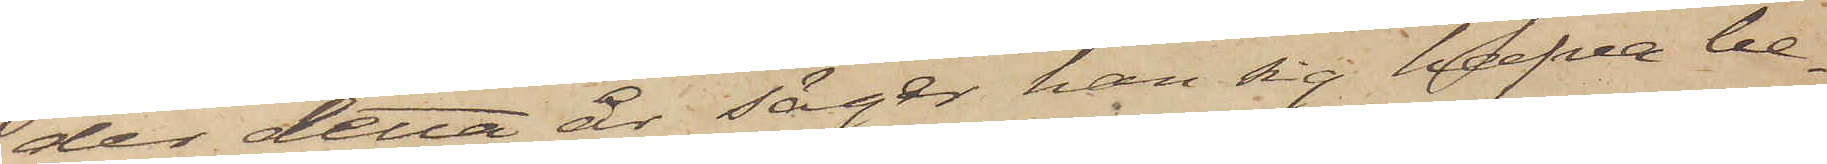der detta år säger han sig hafva be¬
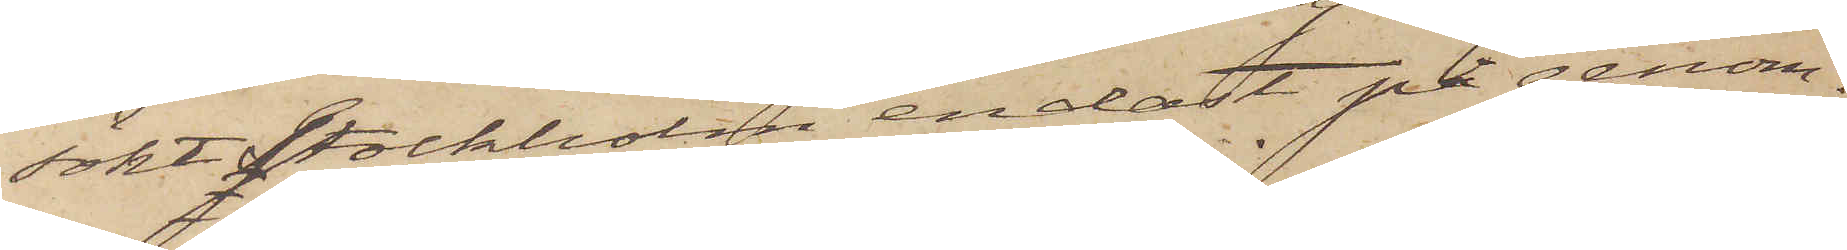sökt Stockholm endast på genom¬
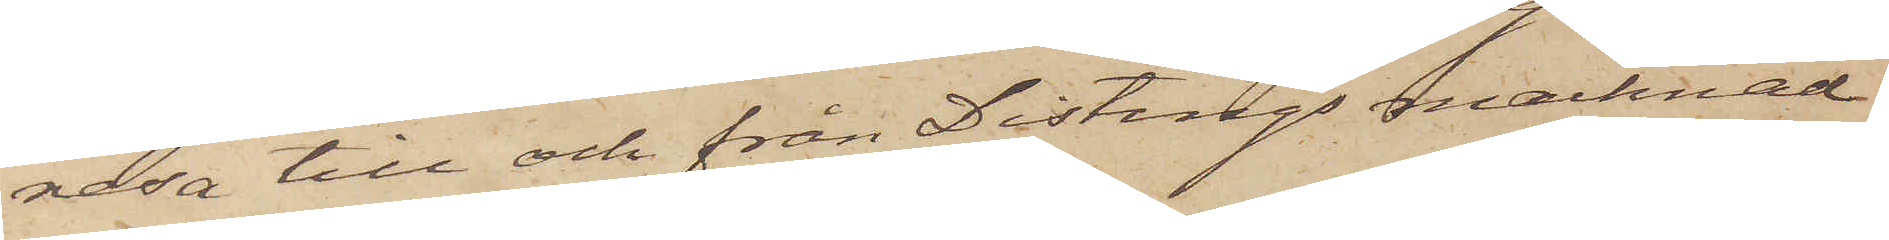resa till och från Distings marknad
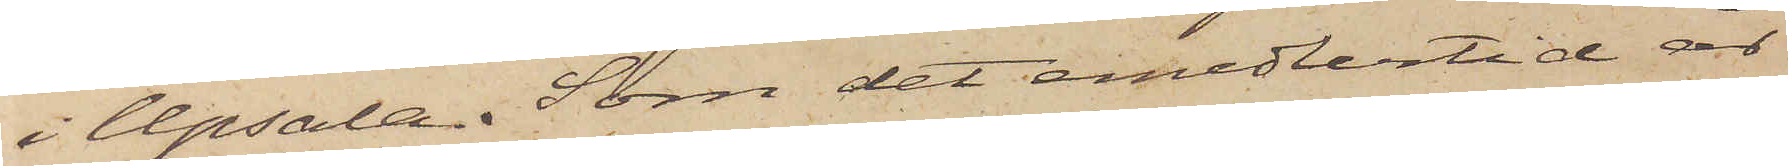i Upsala. Som det emedlertid är
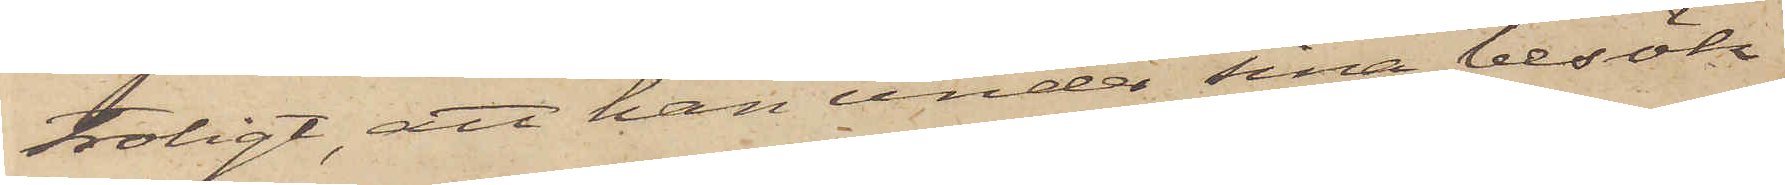troligt, att han under sina besök
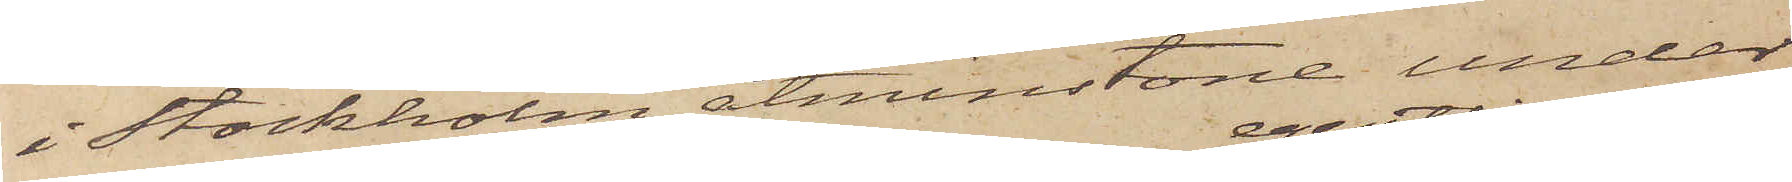i Stockholm åtminstone under
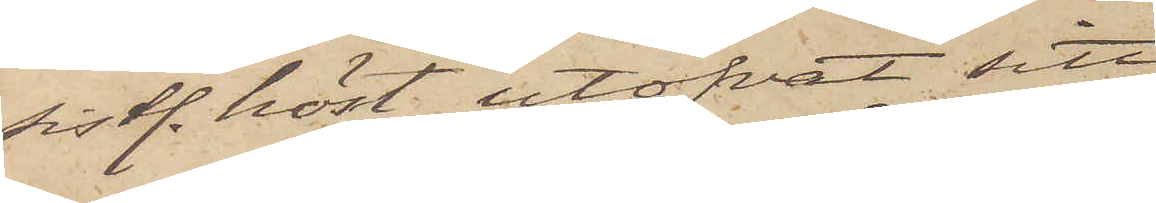sistl. höst utöfvat sitt
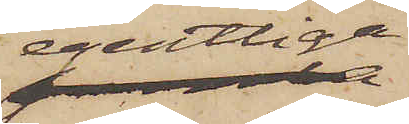egentliga
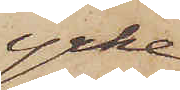yrke,
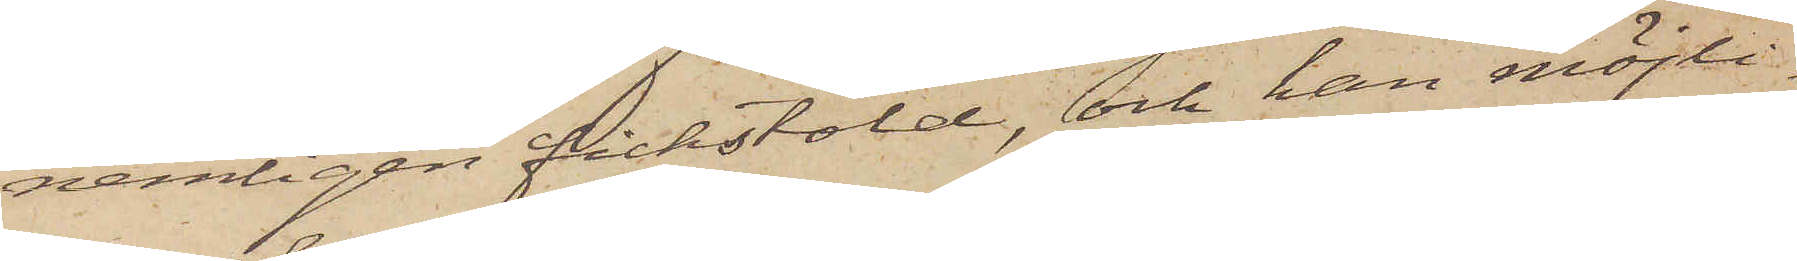nemligen fickstöld, och han möjli¬
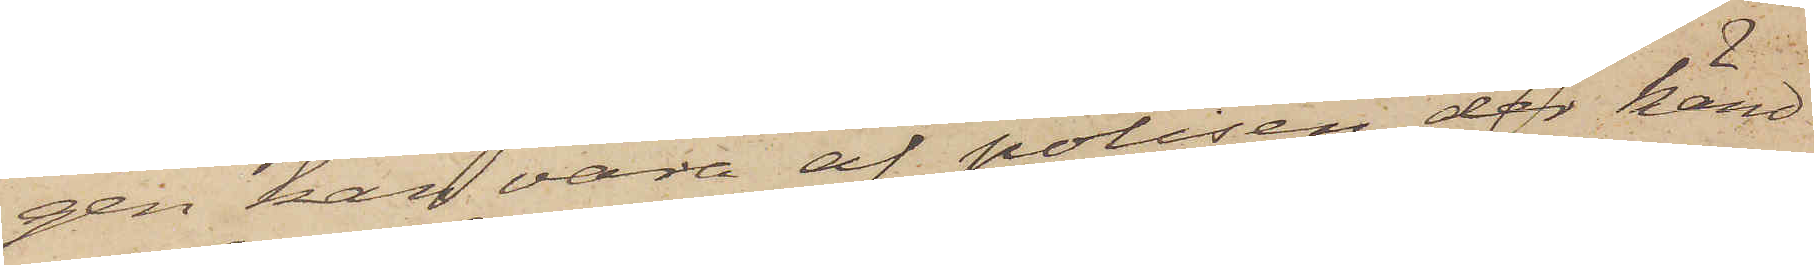gen kan vara af polisen der känd
